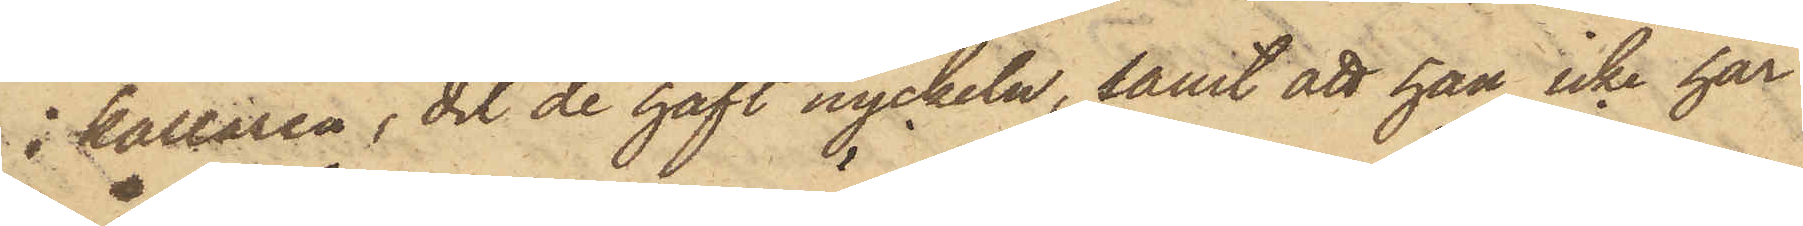i källaren, dit de haft nyckeln, samt att han icke har
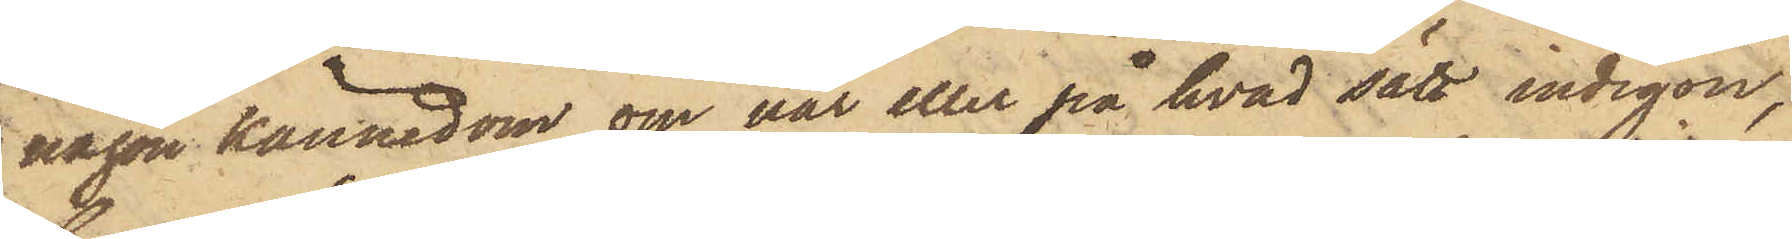någon kännedom om var eller på hvad sätt indigon,
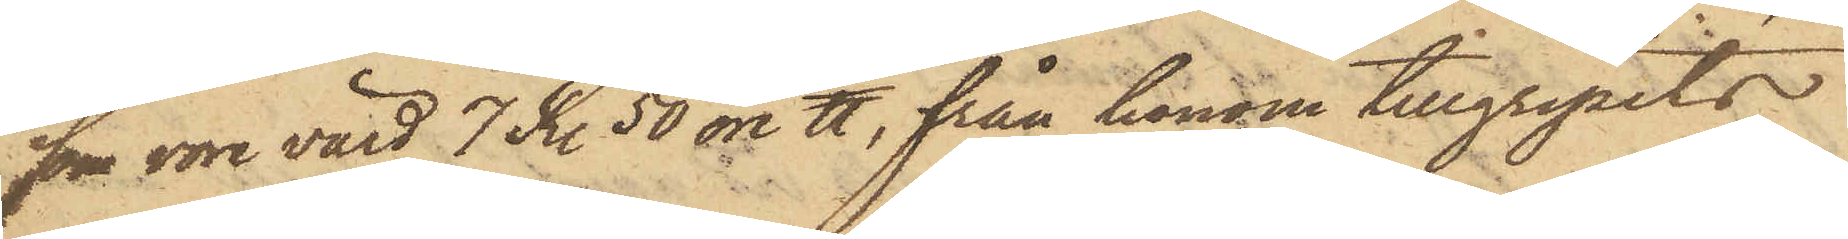som vore värd 7 Kr. 50 öre ℔, från honom tillgripits.
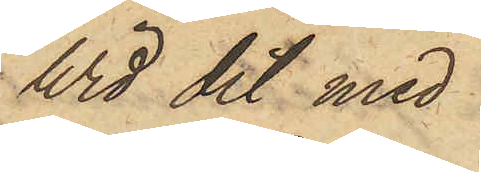Wid det med
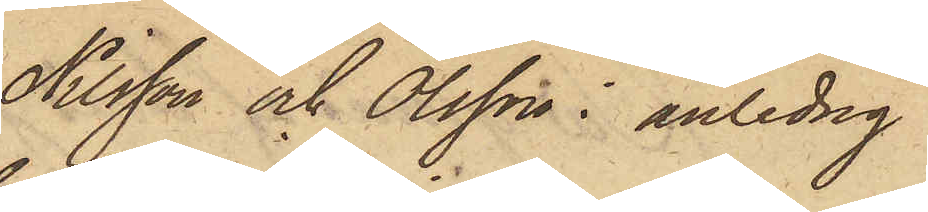Nilsson och Olsson i anledng
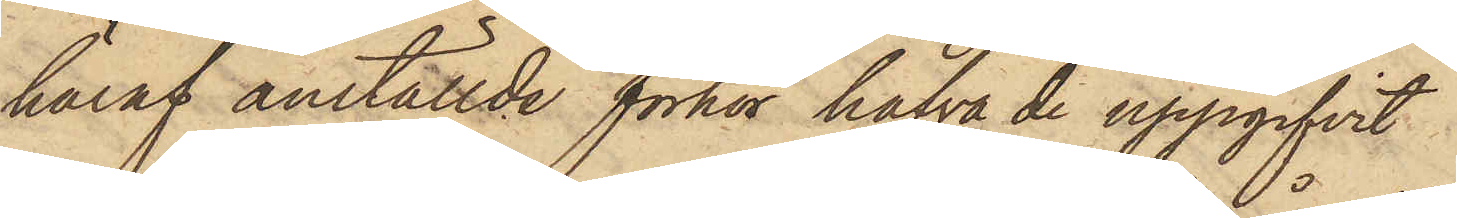häraf anställde förhör hafva de uppgifvit
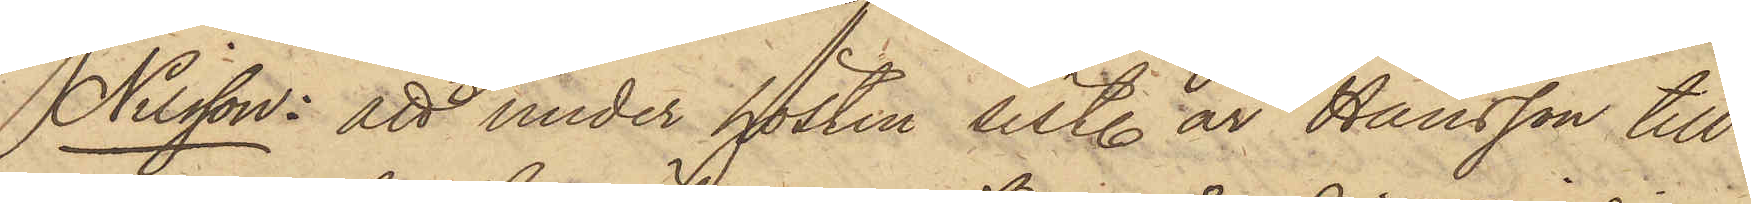Nilsson: att under hösten sistl. år Hansson till
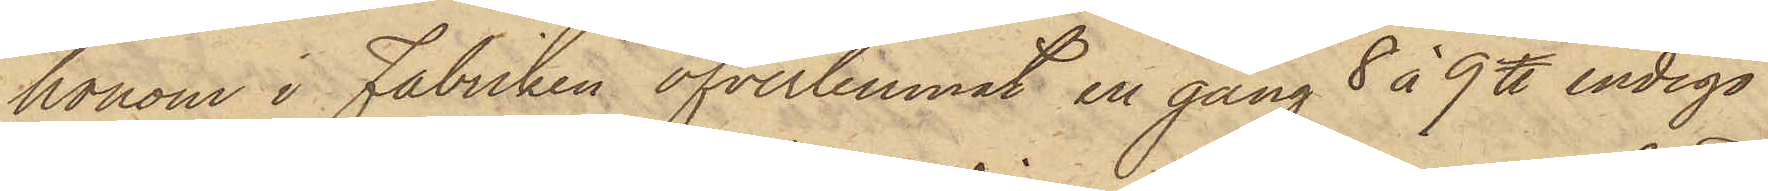honom i Fabriken öfverlemnat en gång 8 á 9 ℔ indigo
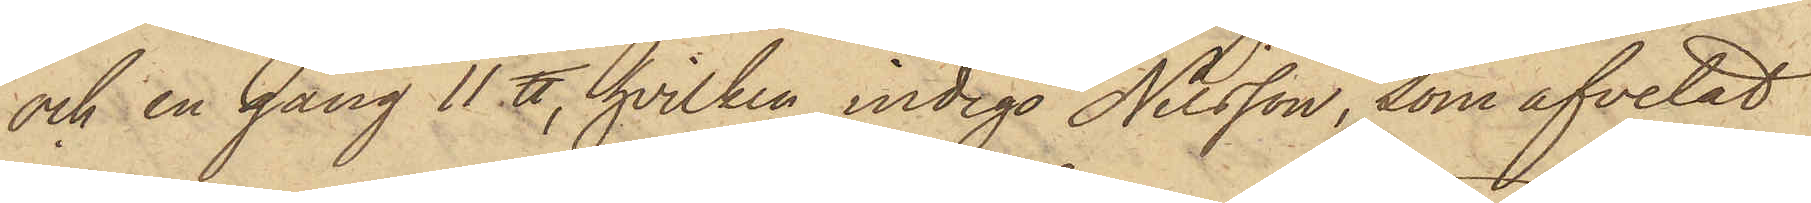och en gång 11 ℔, hvilken indigo Nilsson, som afvetat
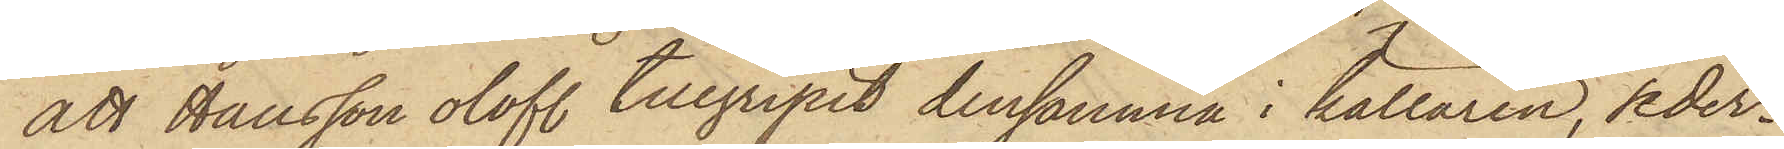att Hansson olofl. tillgripit densamma i källaren, seder¬
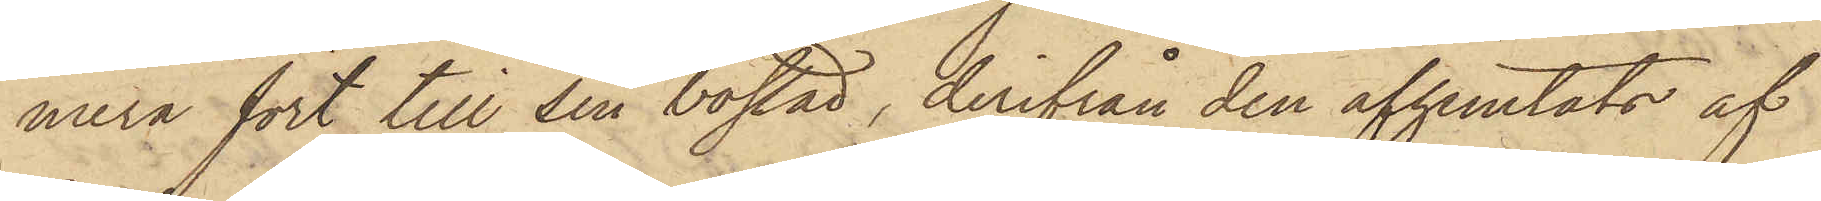mera fört till sin bostad, derifrån den afhemtats af
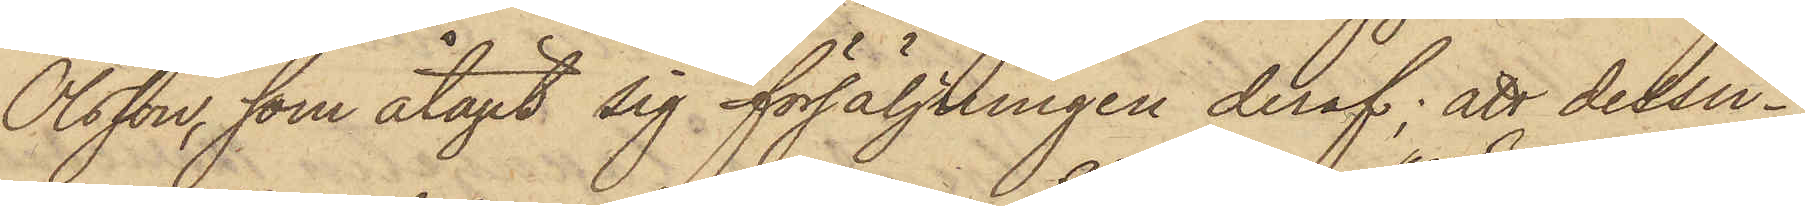Olsson, som åtagit sig försäljningen deraf; att dessu¬
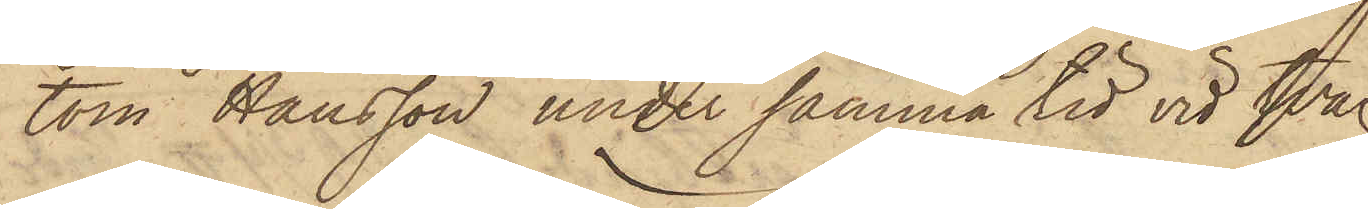tom Hansson under samma tid vid två
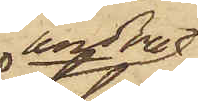andra
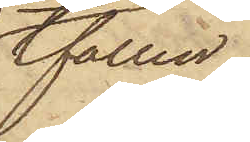tfällen,
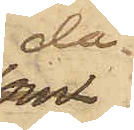då
